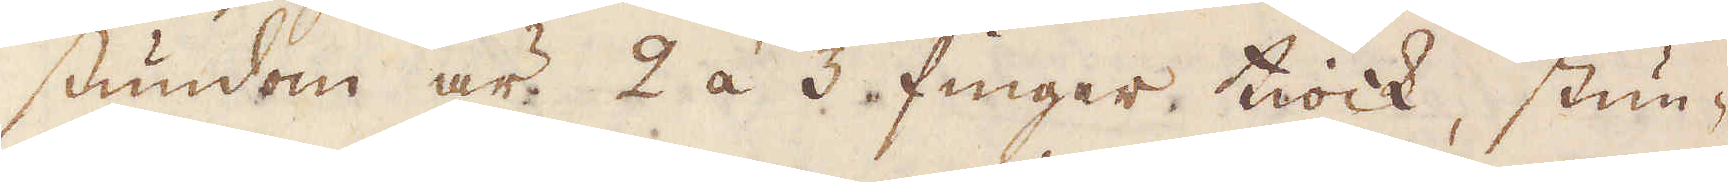stundom är 2 á 3 finger tiock, stun-
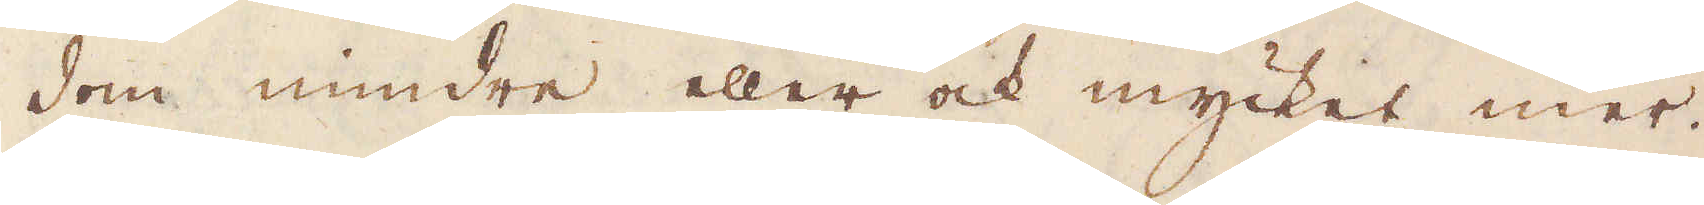dom mindre eller ock mycket mer.
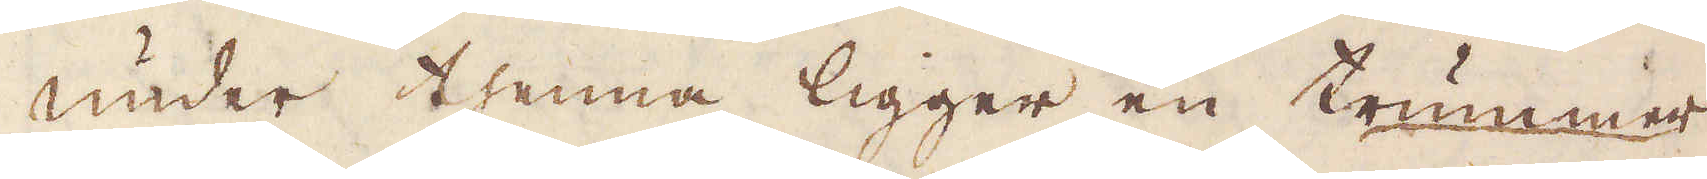Under thenna ligger en trummer
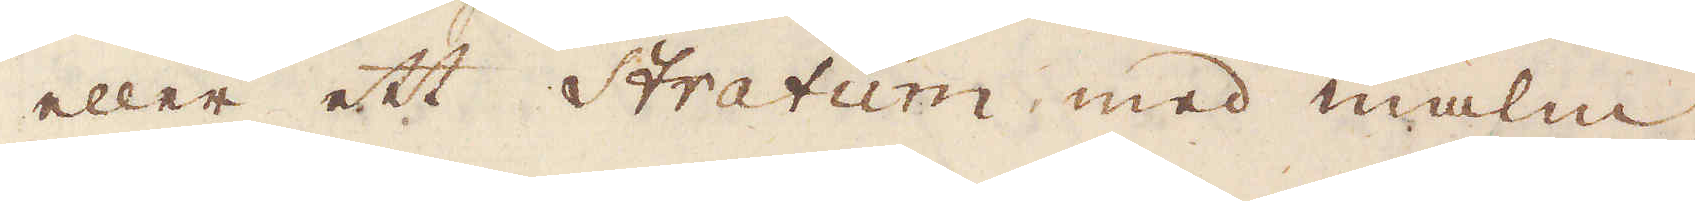eller ett Stratum med malm,
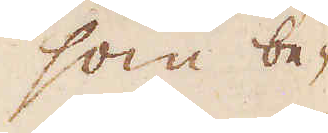som be-
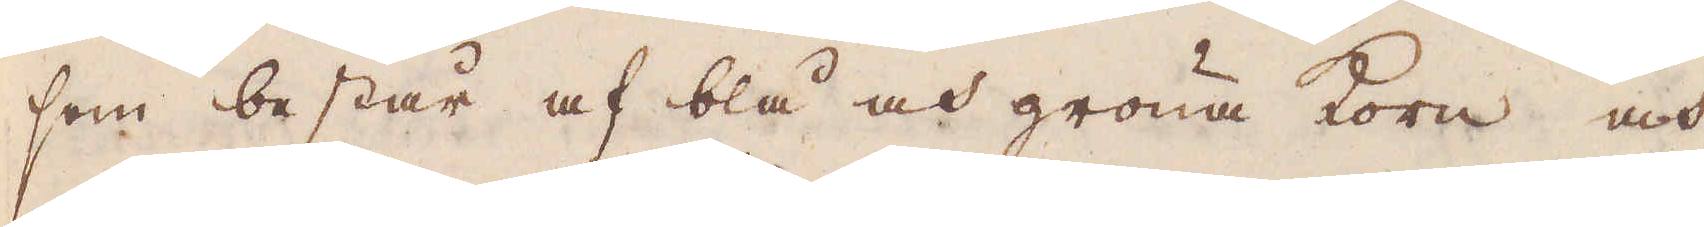som består af blå och gröna korn och
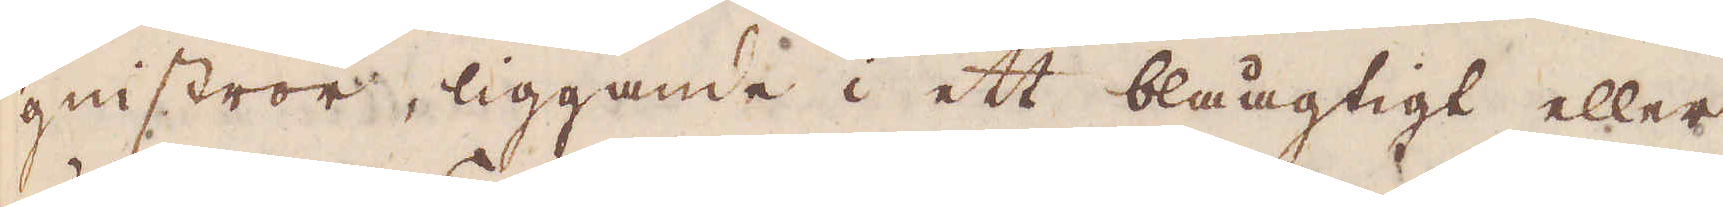geiströr, liggande i ett blåagtigt eller
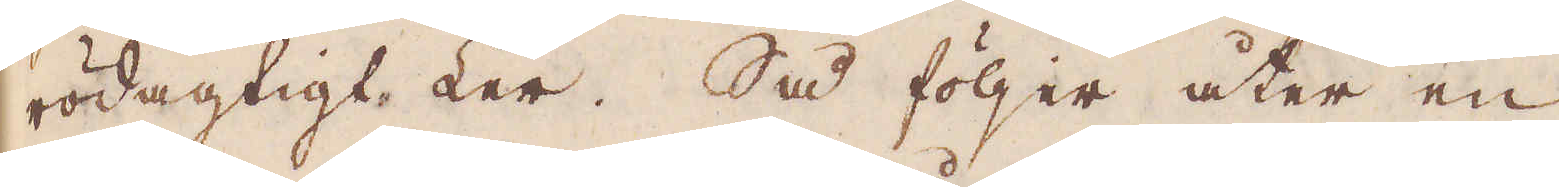rödagtigt Ler. Så följer åter en
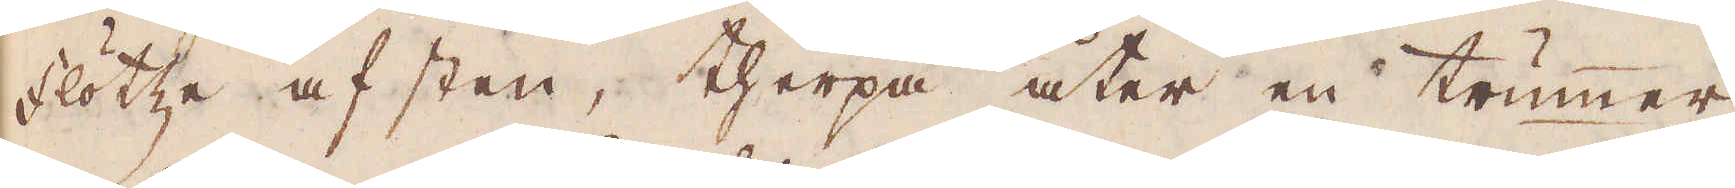Flötze af sten, therpå åter en trummer
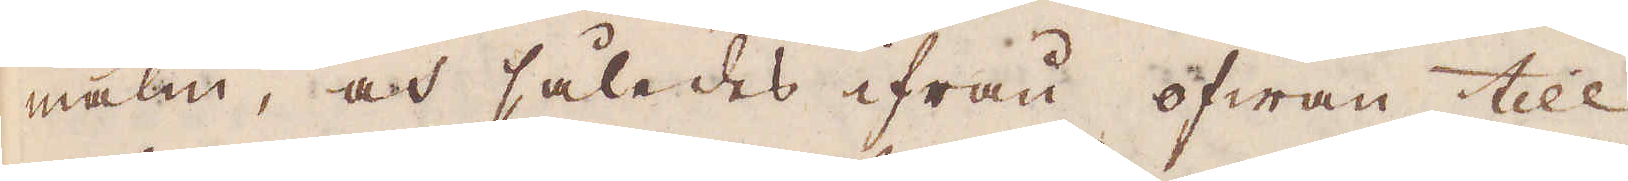malm, at således ifrån ofwan till
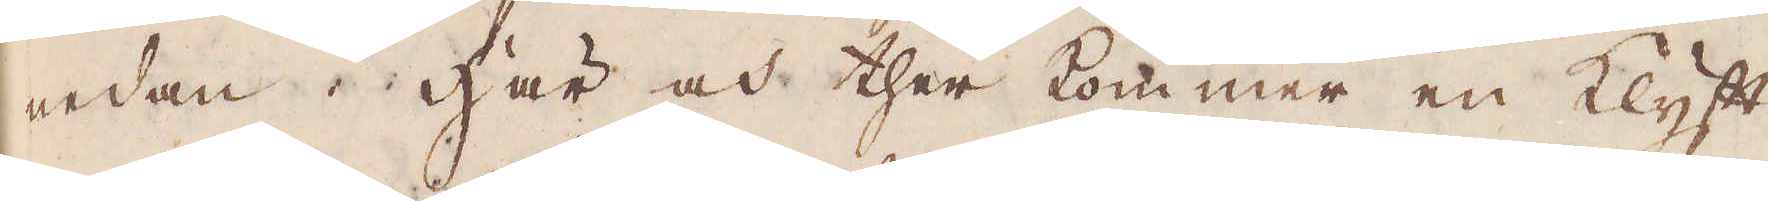nedan. Här och ther kommer en klyft
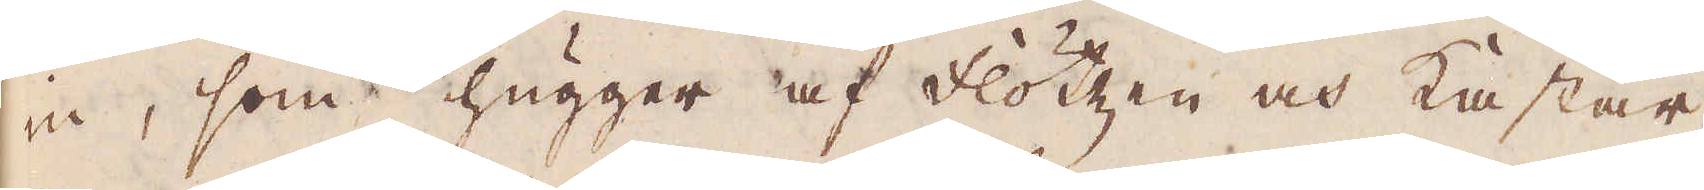in, som hugger af Flötzen och kastar
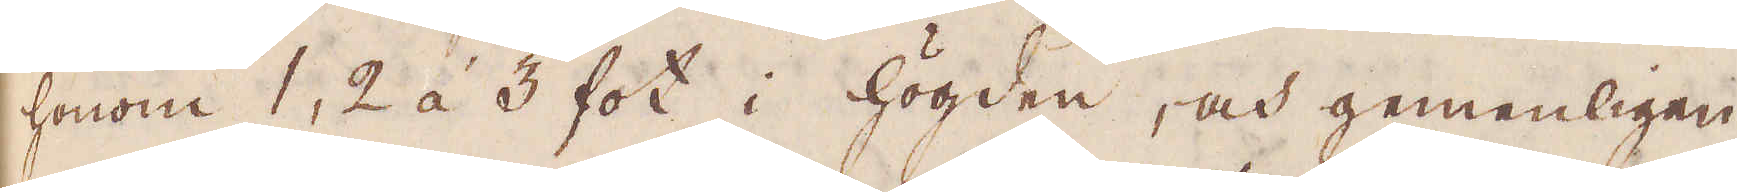honom 1, 2 á 3 fot i högden, och gemenligen
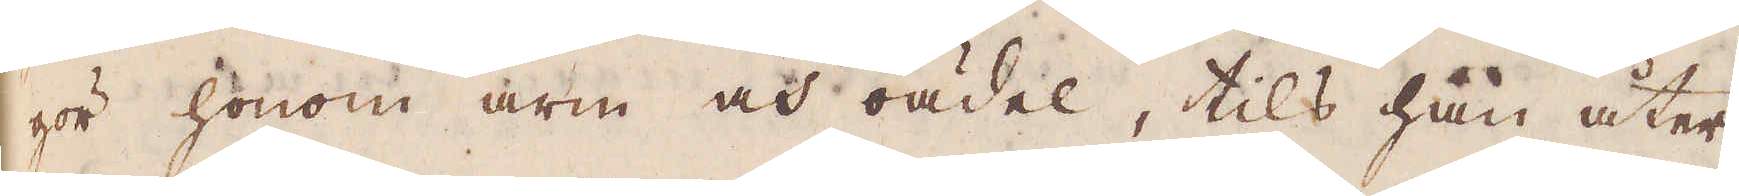gör honom arm och oädel, tils han åter
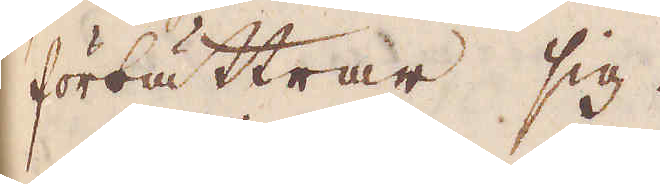förbättrar sig.
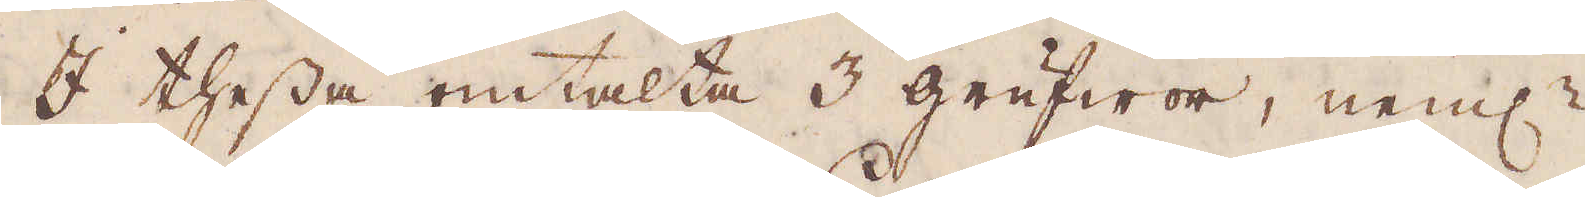I thessa omtalta 3 grufwor, neml:
